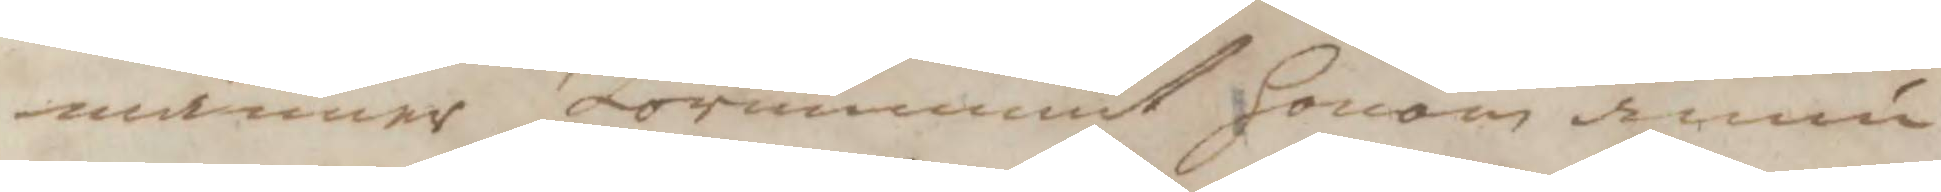männer förnummit honom ännu
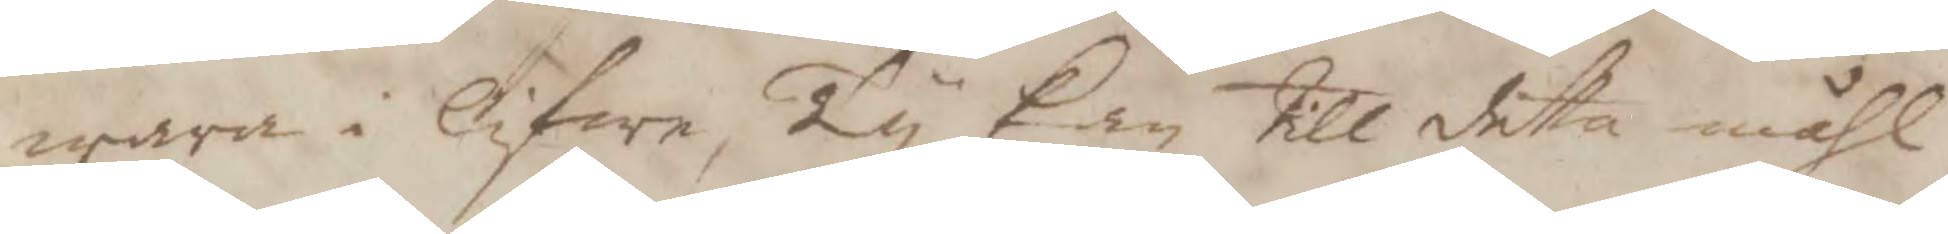wara i lifwet, Ty kan till detta måhl
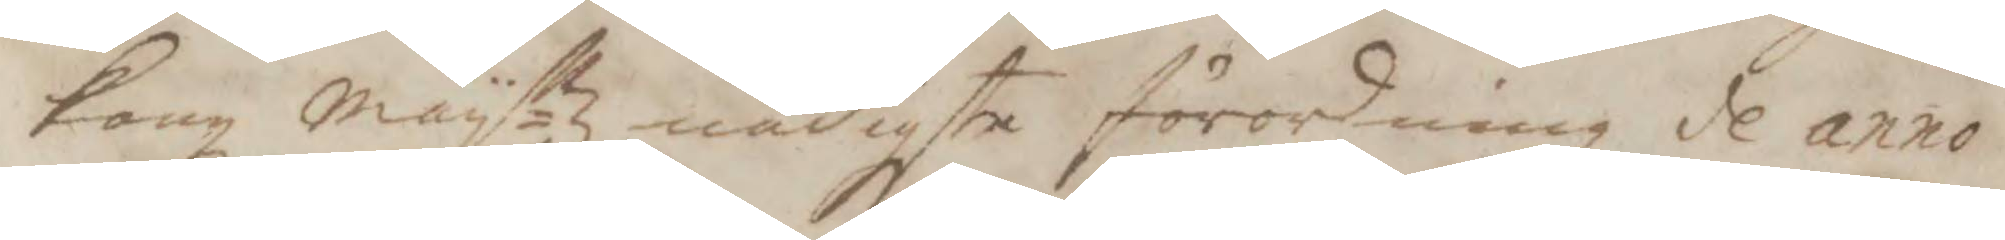Kongl Mayttz nådigste förordning de anno
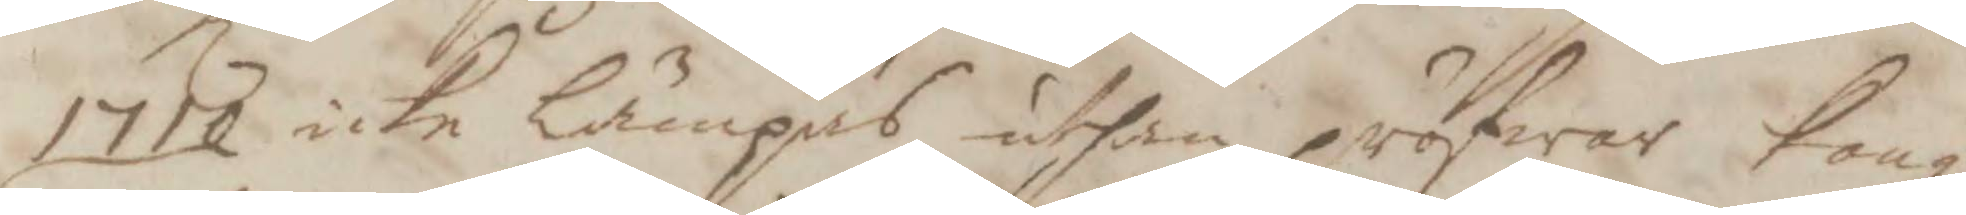1710 icke lämpas uthan pröfwar Kongl
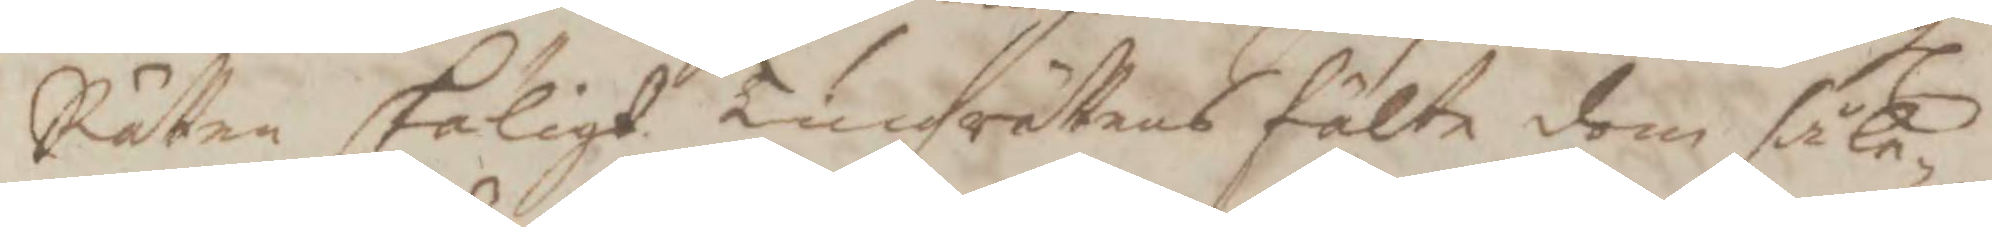Rätten skäligt Tingzrättens fälte dom såle¬
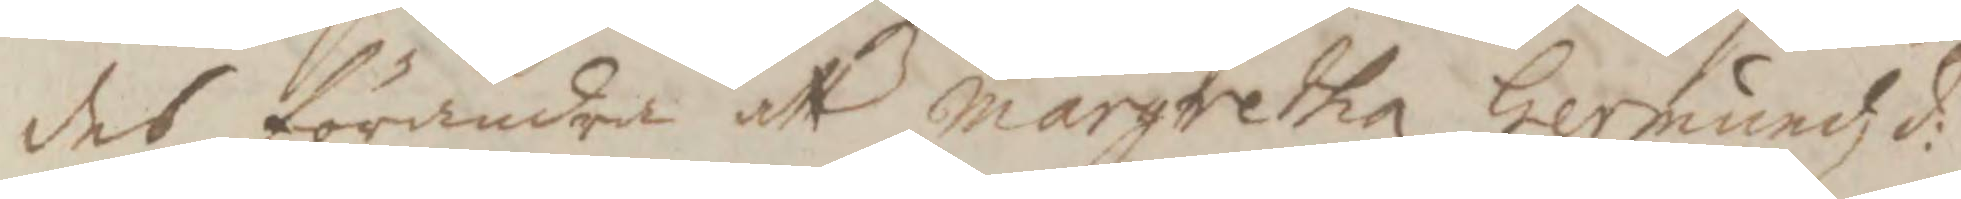des förändra att margretha Germundzd:
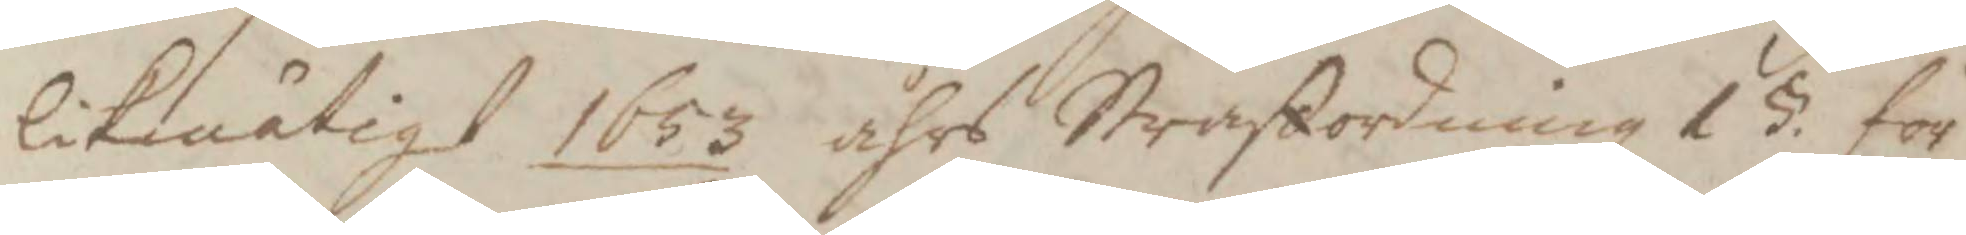likmätigt 1653 åhrs Straffordning 15. för
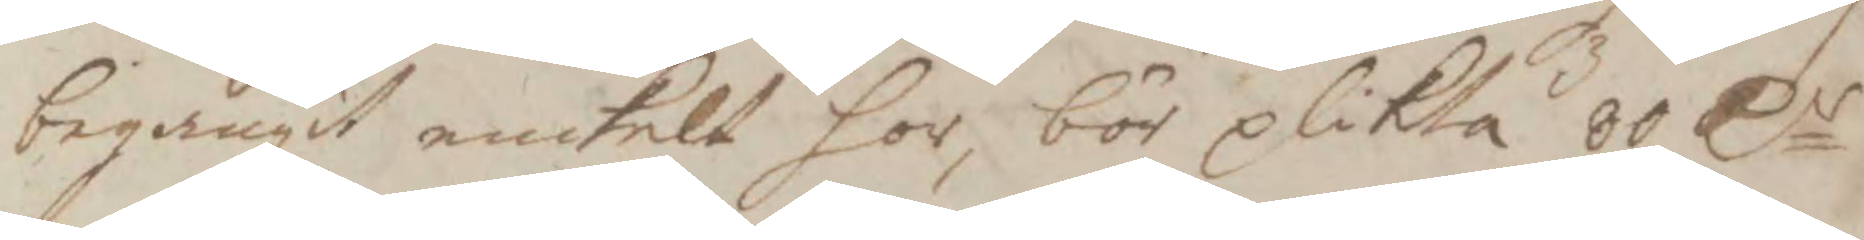begångit enkelt hor, bör plikta 80 Cr
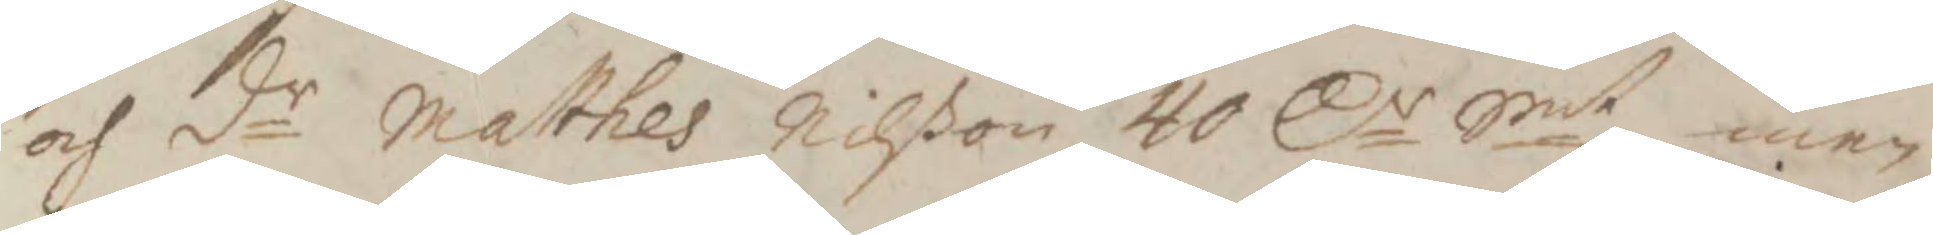och dr Matthes Nilßon 40 Cr Smt, men
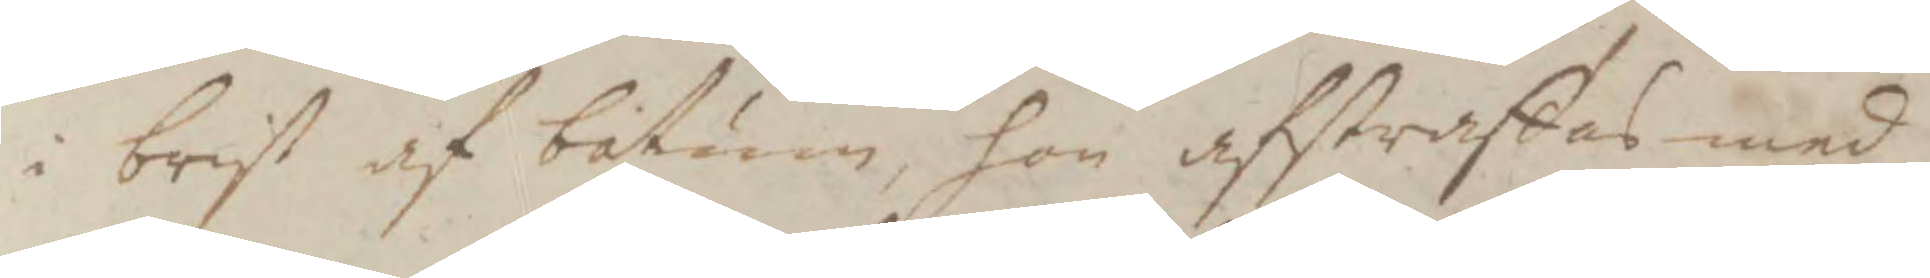i brist af botum, hon afstraffas med
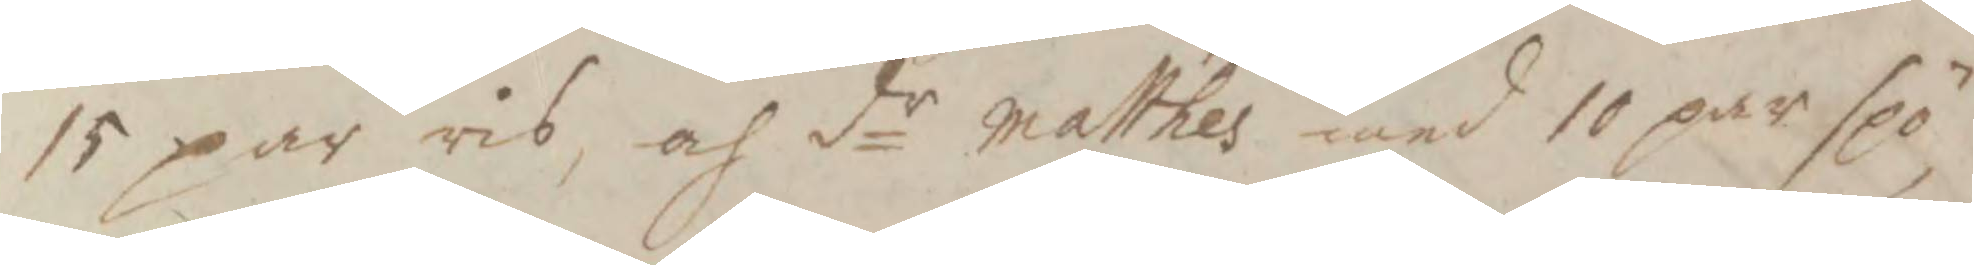15 par ris, och dr Matthes med 10 par spö
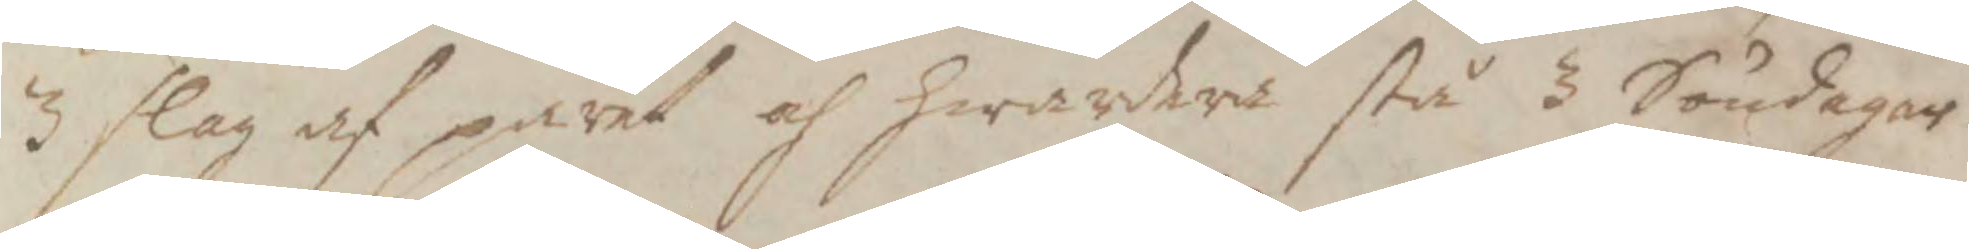3 slag af paret och hwardera stå 3 Söndagar
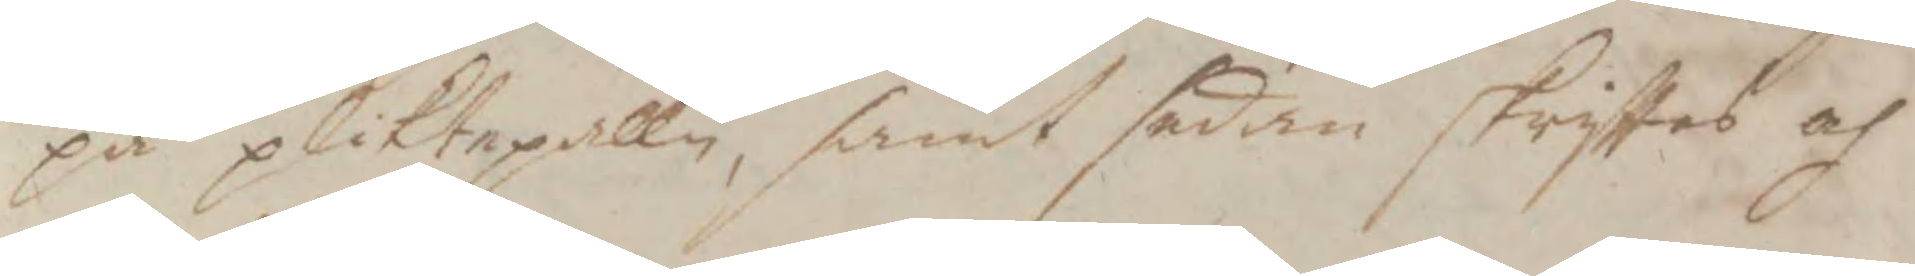på pliktpallen, samt sedan skrifttas och
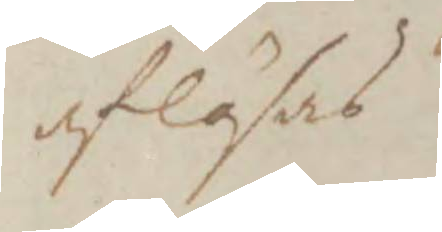aflösas.
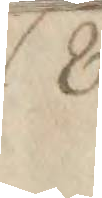8.
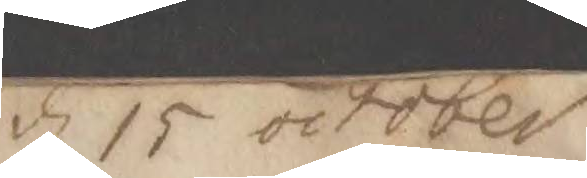d 15 october
